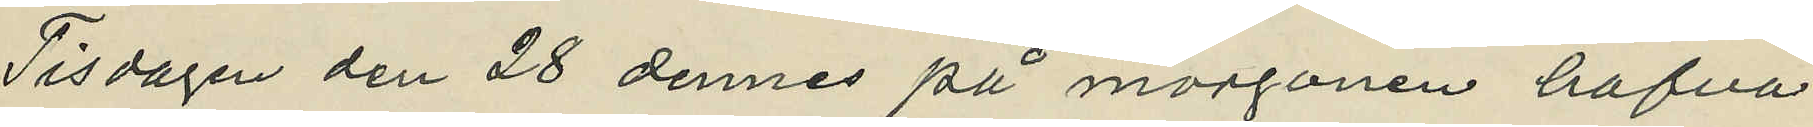Tisdagen den 28 dennes på morgonen hafva
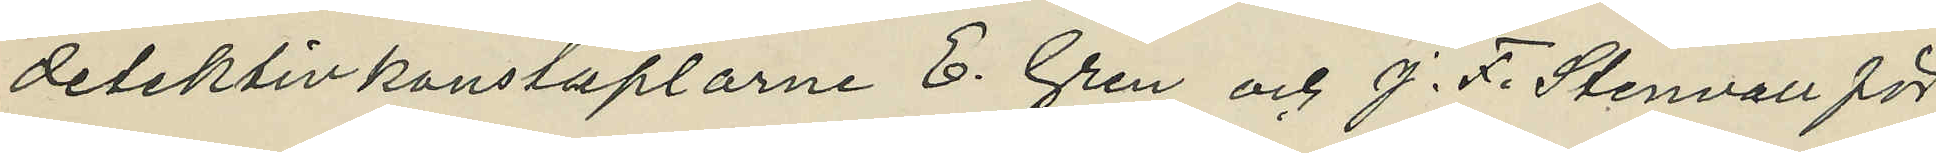detektivkonstaplarne E. Gren och J. F. Stenvall för
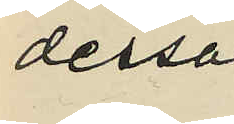dessa 
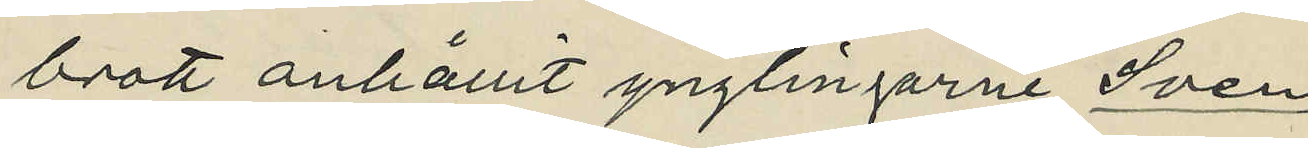brott anhållit ynglingarne Sven
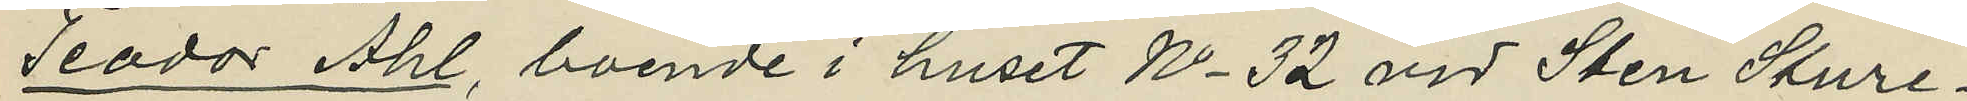Teodor Ahl, boende i huset No 32 vid Sten Sture¬
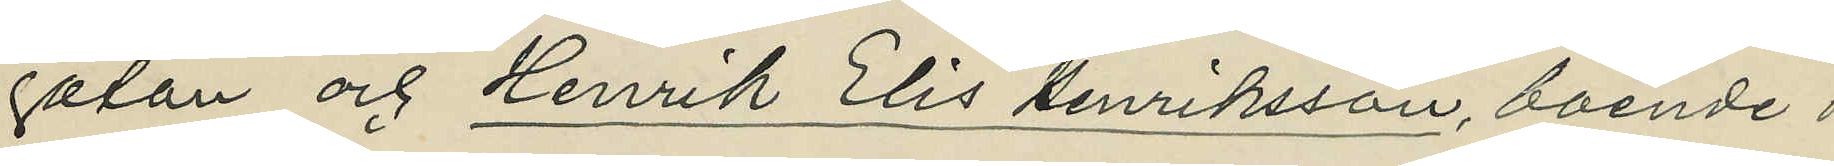gatan och Henrik Elis Henriksson, boende i
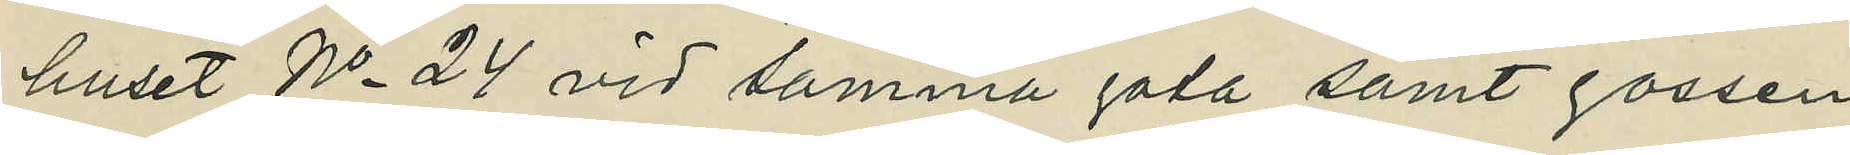huset No 24 vid samma gata samt gossen
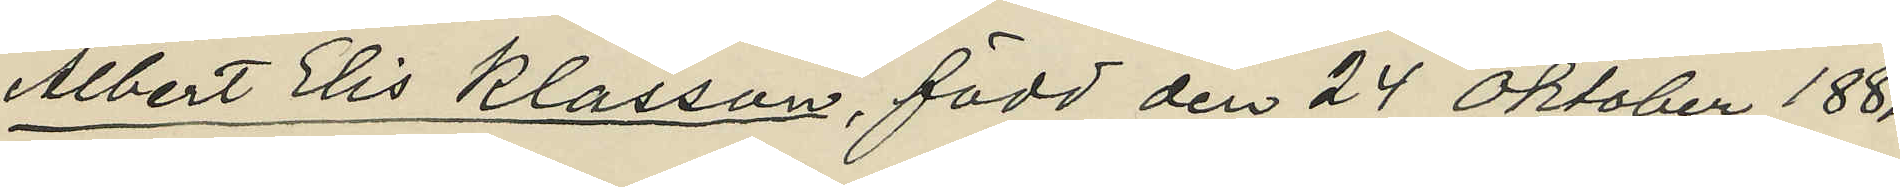Albert Elis Klasson, född den 24 Oktober 1881
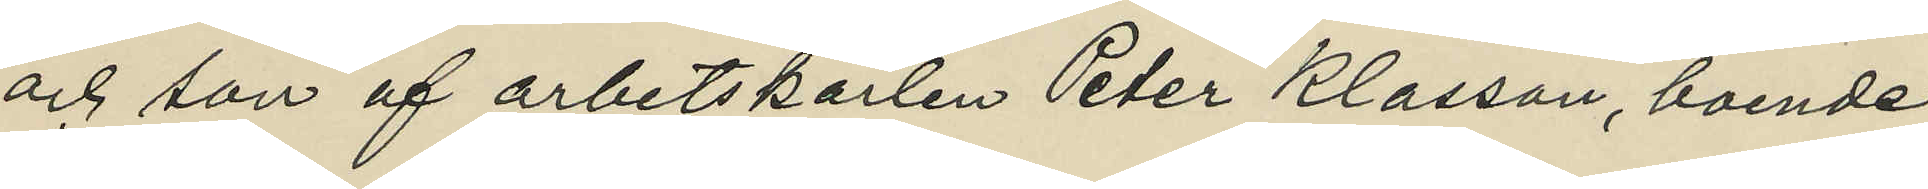och son af arbetskarlen Peter Klasson, boende
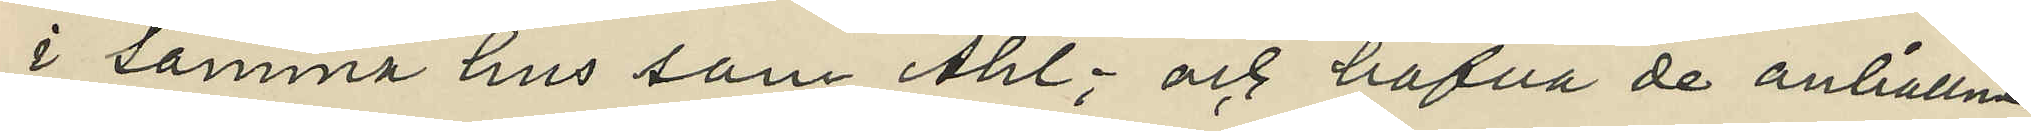i samma hus som Ahl; och hafva de anhållne
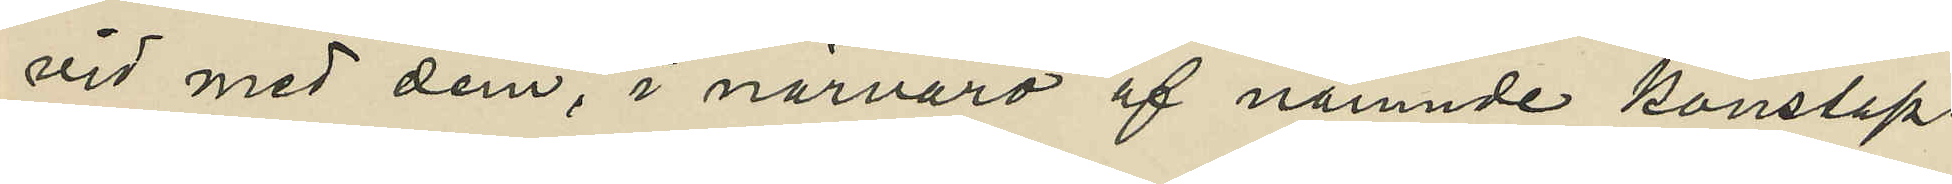vid med dem, i närvaro af nämnde konstap¬
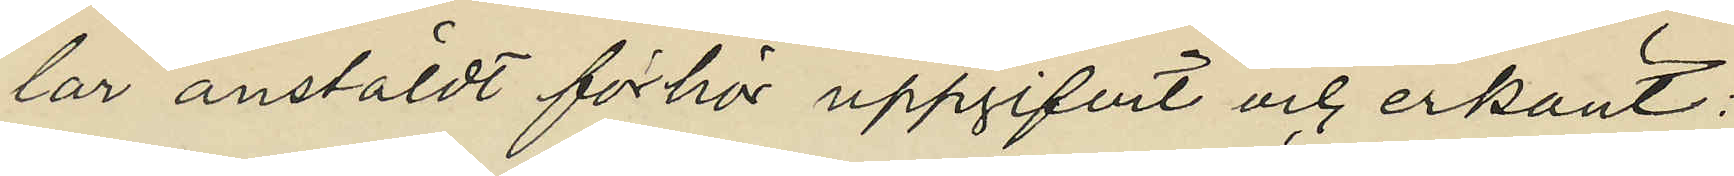lar anstäldt förhör uppgifvit och erkänt:
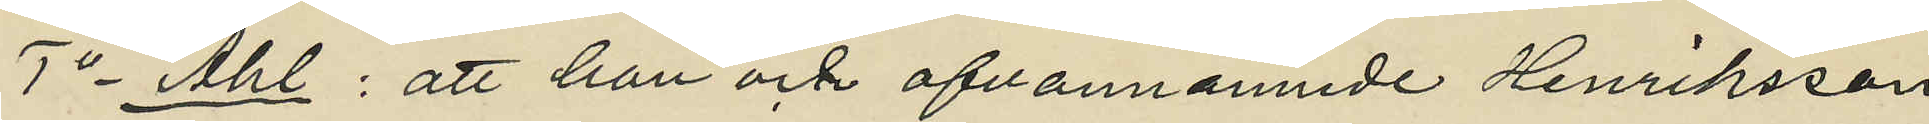1o Ahl: att han och ofvannämnde Henriksson
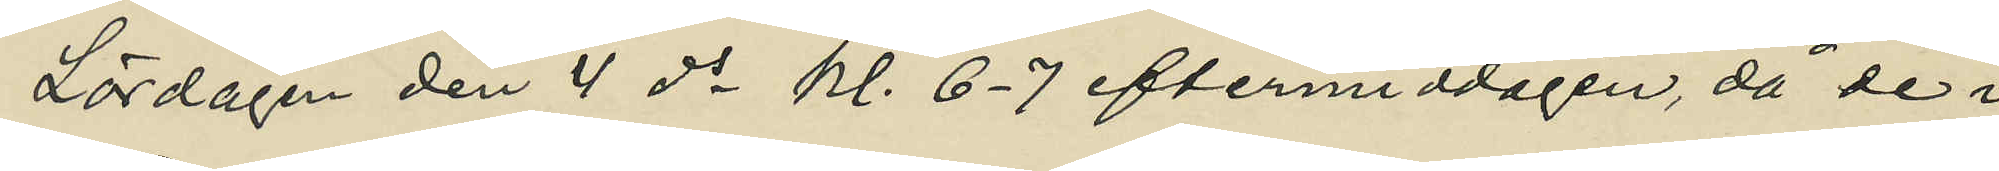Lördagen den  4 ds kl. 6-7 eftermiddagen, då de i 
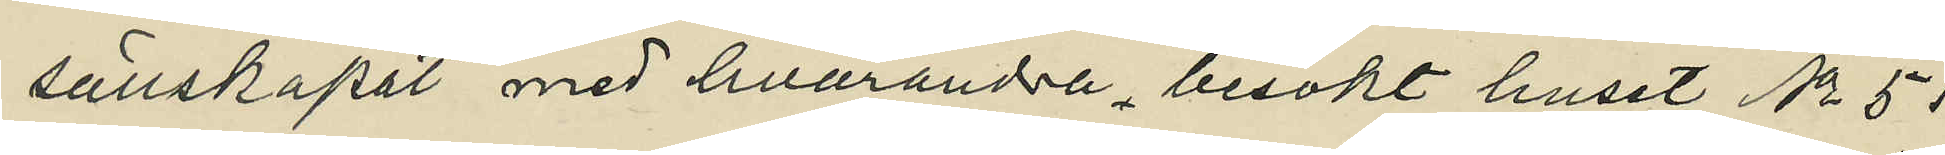sällskapet med hvarandra besökt huset No 51
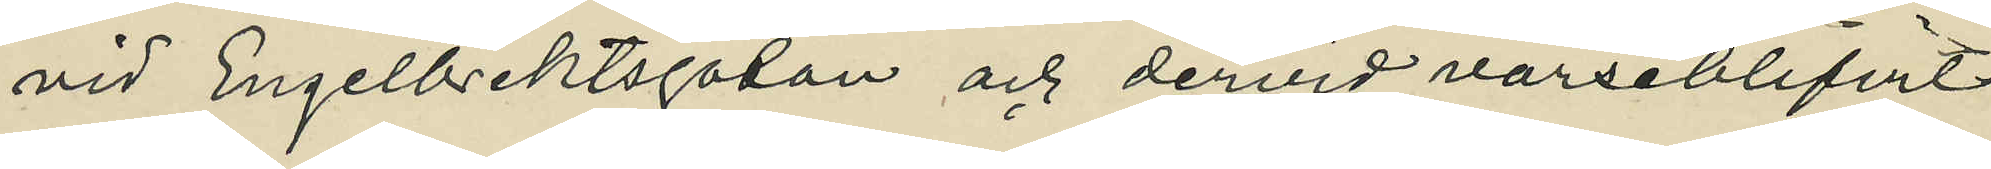vid Engelbrektsgatan och dervid varseblifvit
